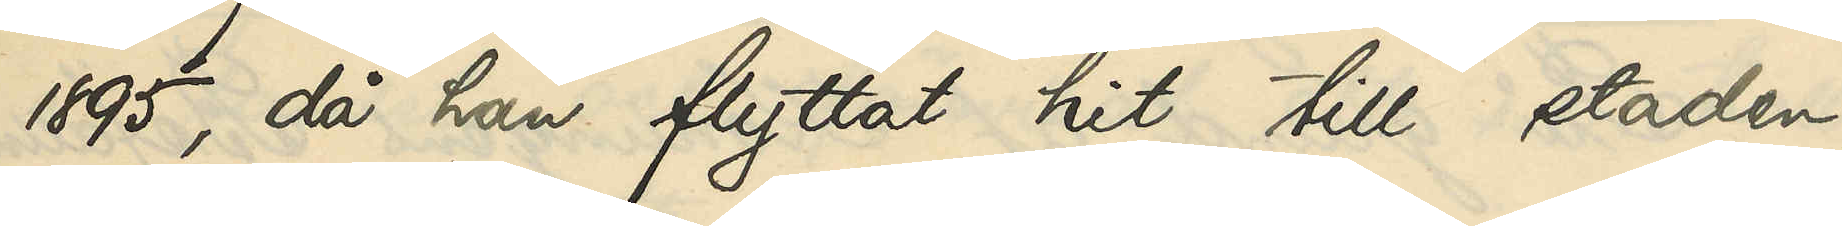1895, då han flyttat hit till staden,
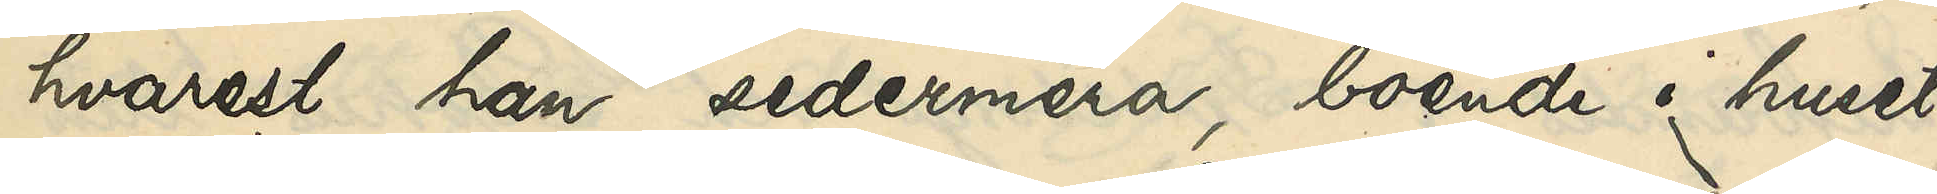hvarest han sedermera, boende i huset
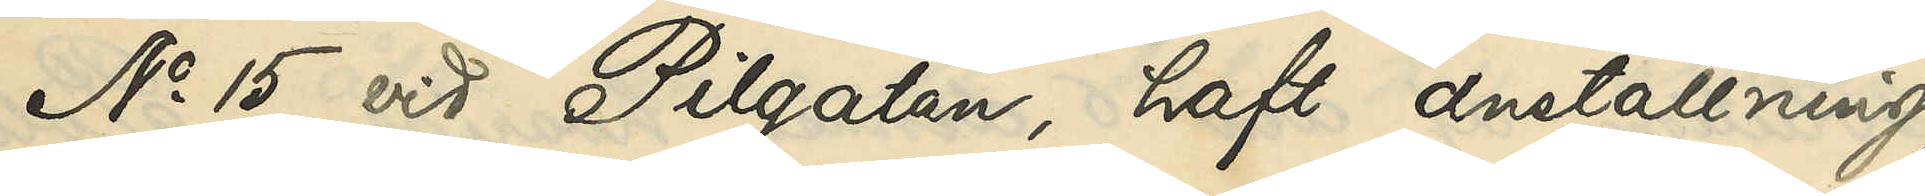No 15 vid Pilgatan, haft anställning
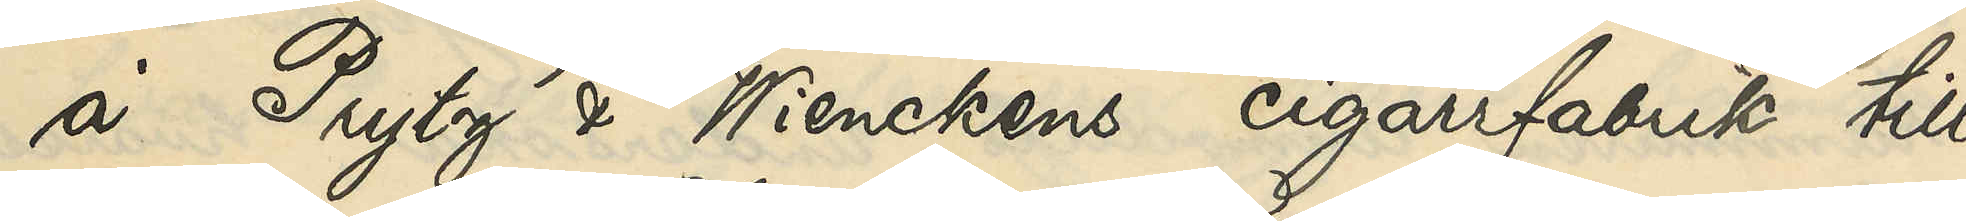å Prytz´ & Wienckens cigarrfabrik till
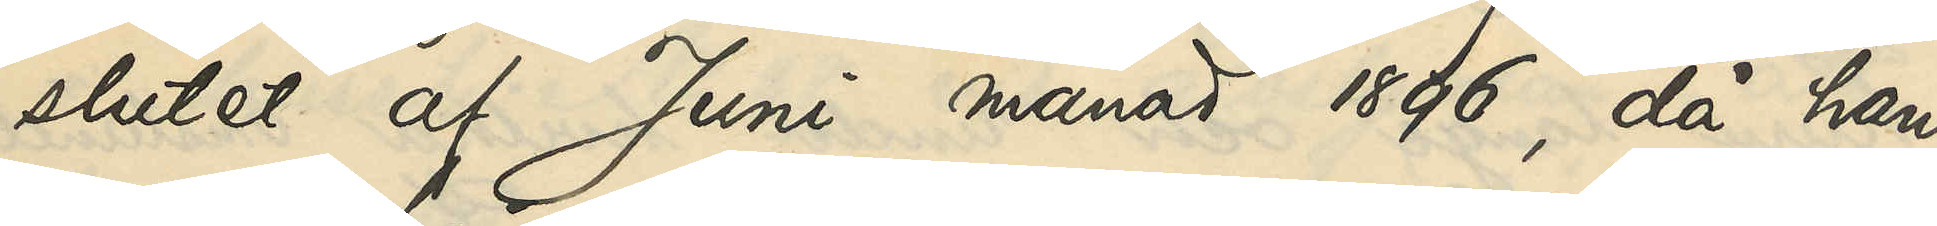slutet af Juni månad 1896, då han
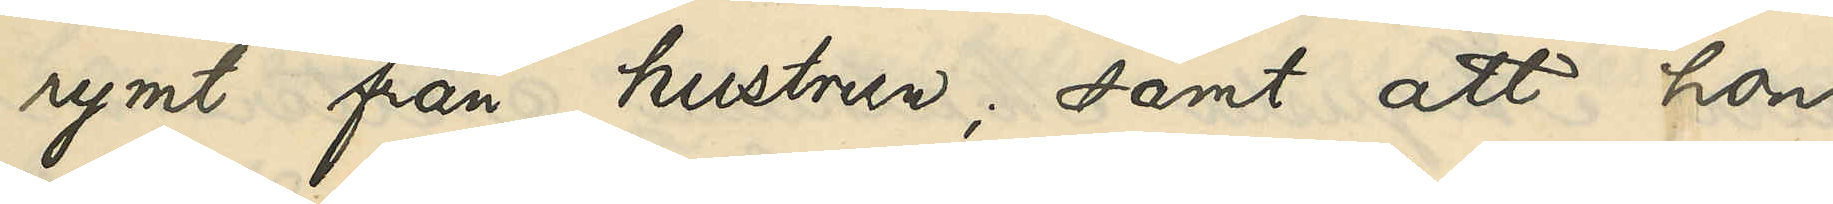rymt från hustrun; samt att hon
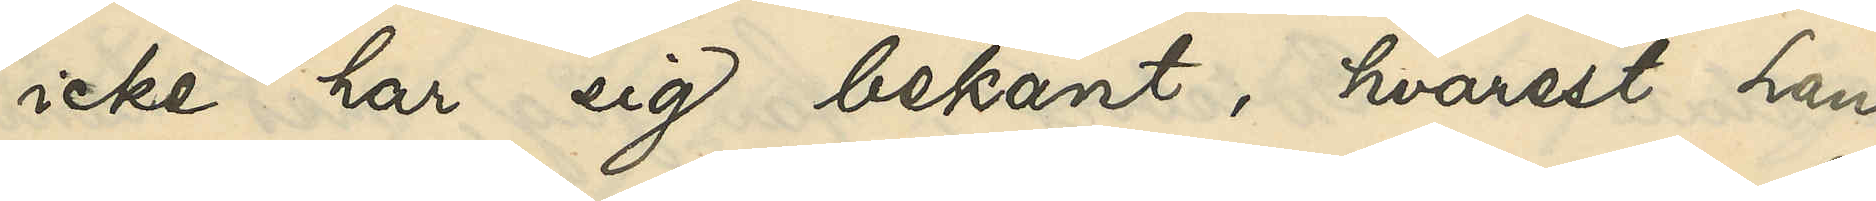icke har sig bekant, hvarest han
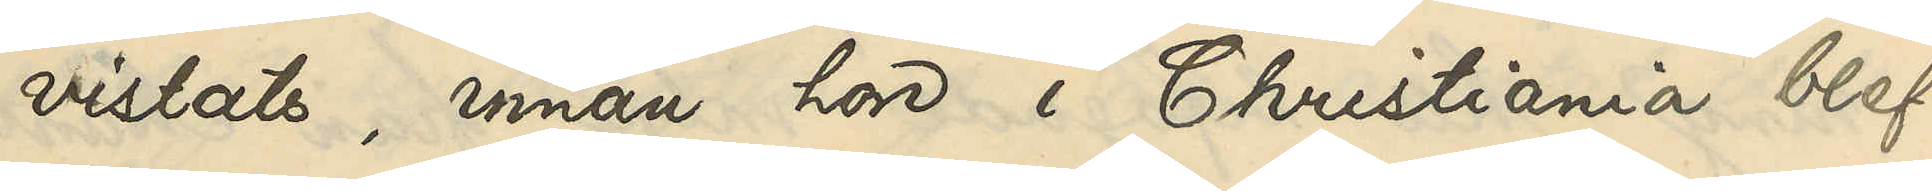vistats innan hon i Christiania blef
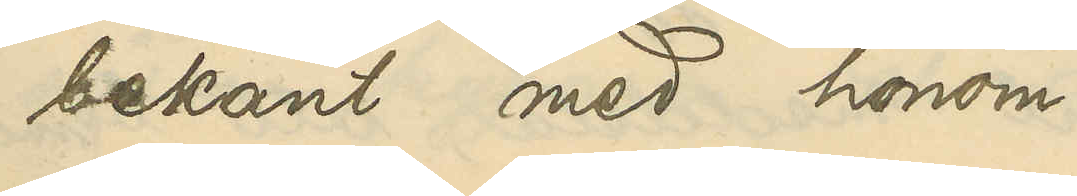bekant med honom.
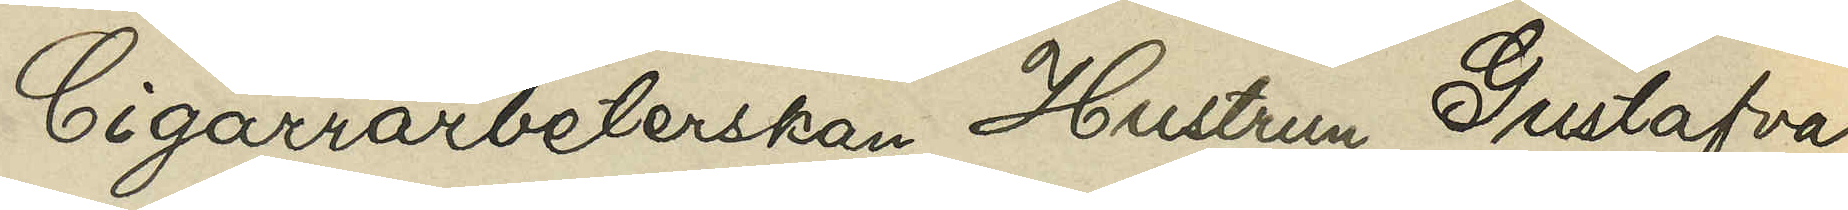Cigarrarbeterskan Hustrun Gustafva
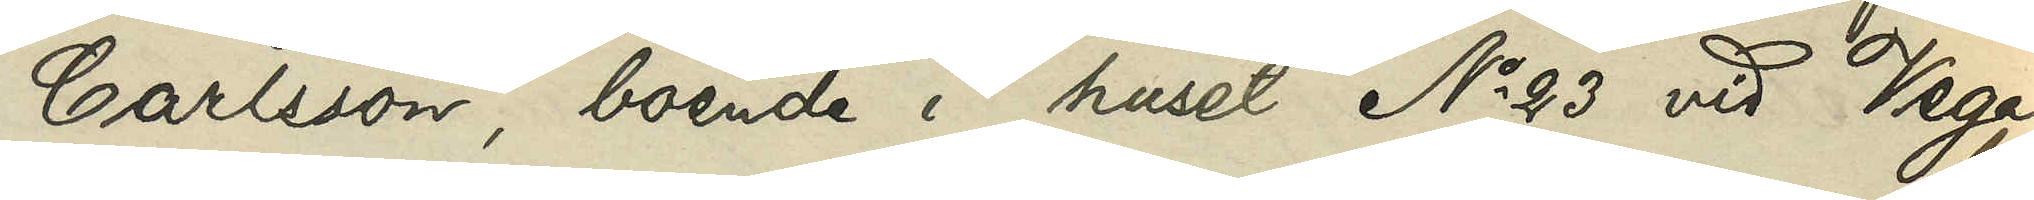Carlsson, boende i huset No 23 vid Vega¬
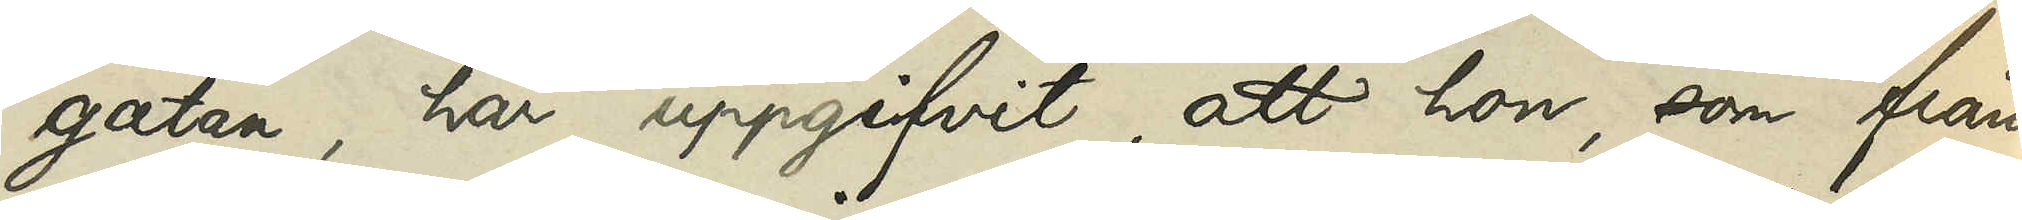gatn, har uppgifvit, att hon, som från
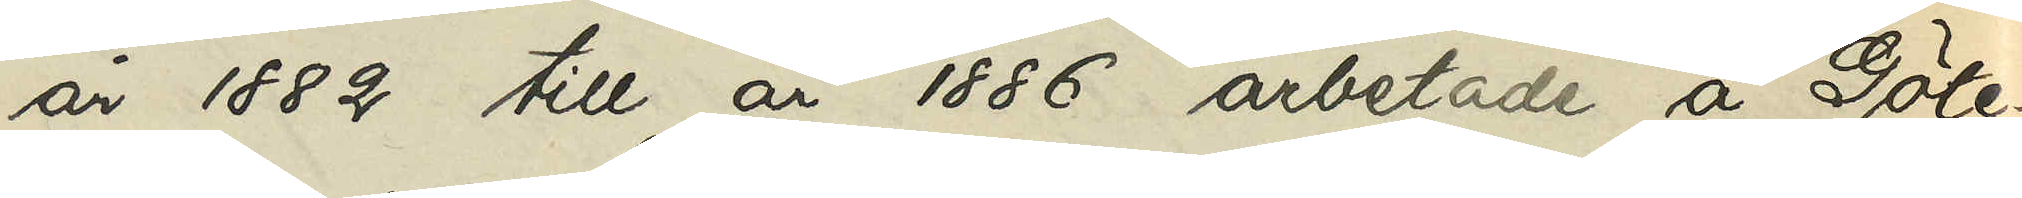år 1822 till år 1886 arbetade å Göte¬
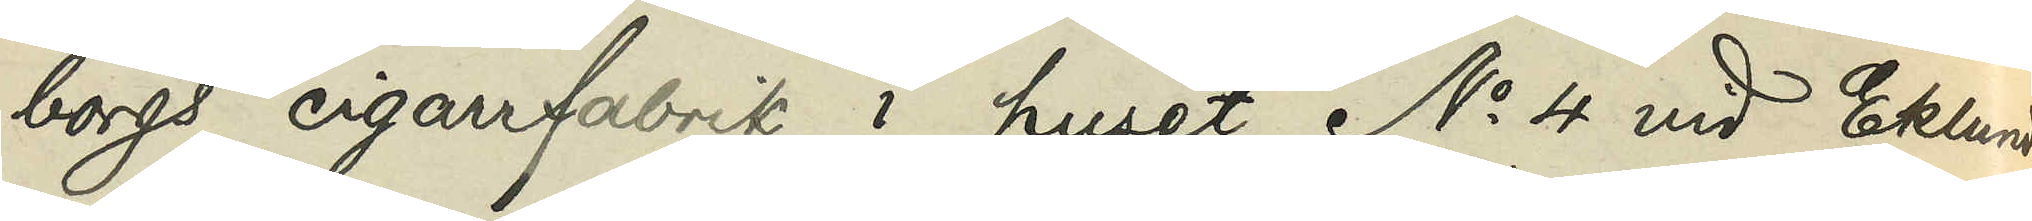borgs cigarrfabrik i huset No 4 vid Eklunds¬
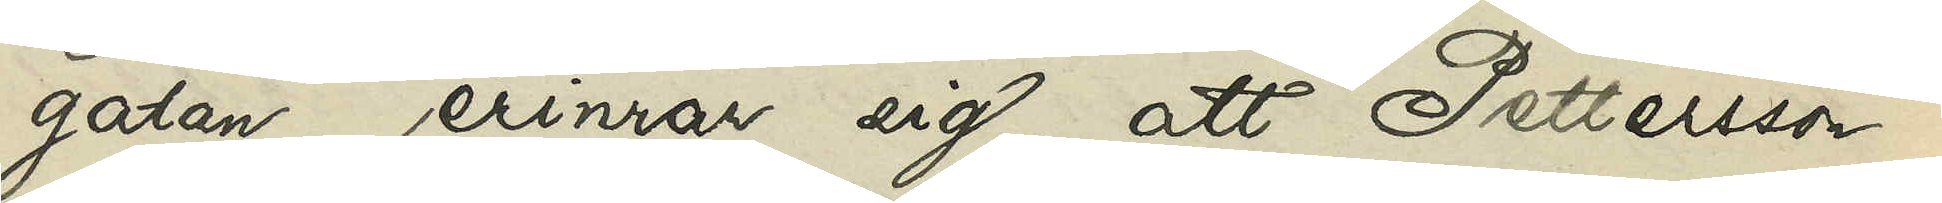gatan, erinrar sig, att Pettersson i
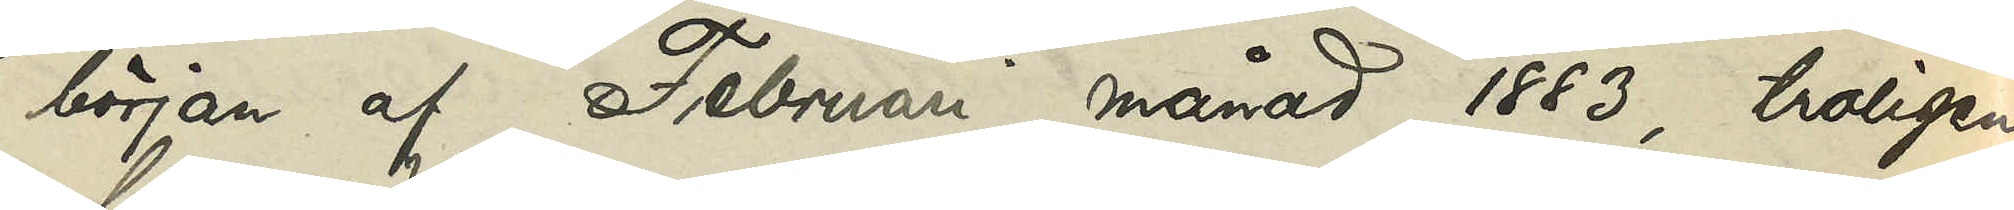början af Februari månad 1883, troligen
